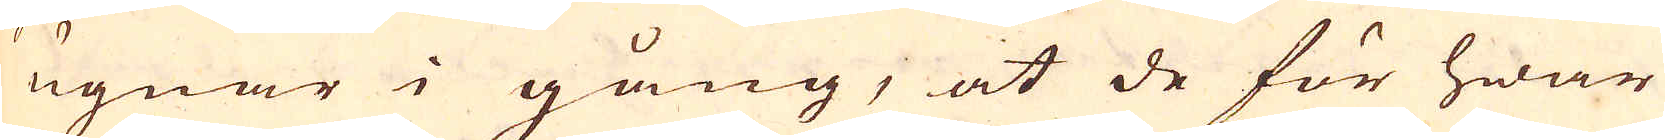ugnar i gång, at de för hwar
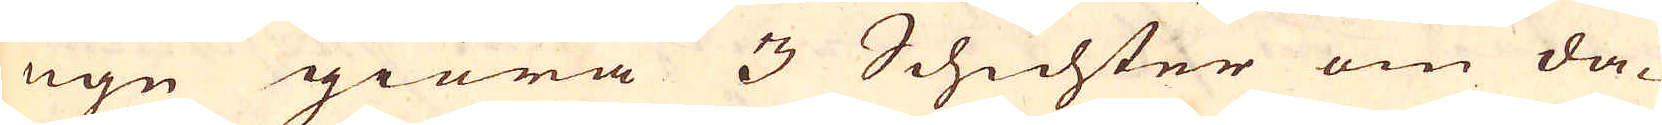ugn giöra 3 Schichter om da-
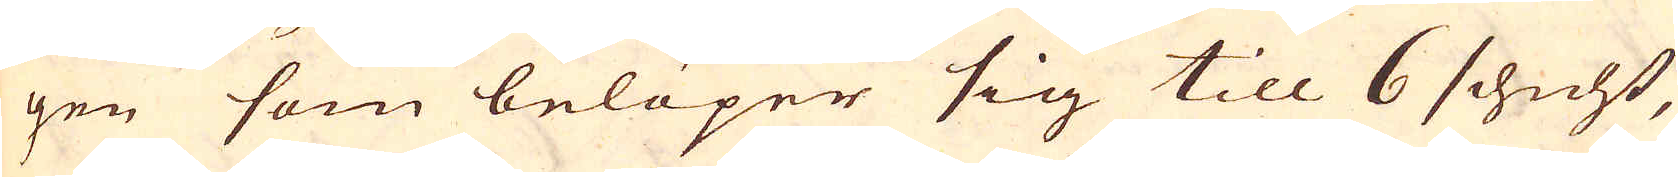gen som belöper sig till 6 schicht,
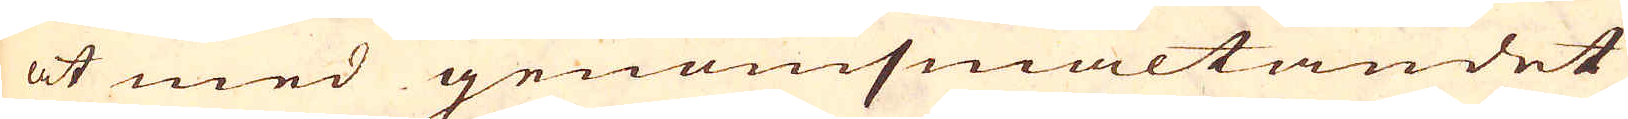at med genomsmältandet
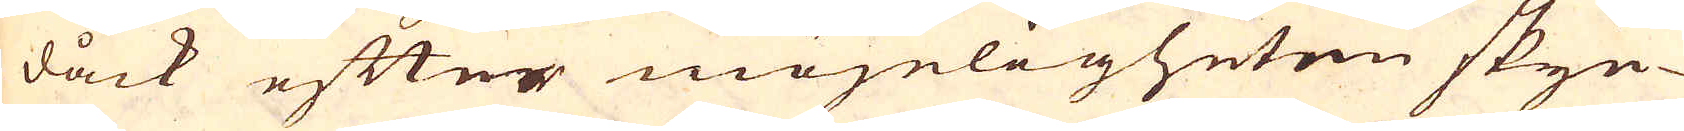dåck efter möjeligheten skyn-
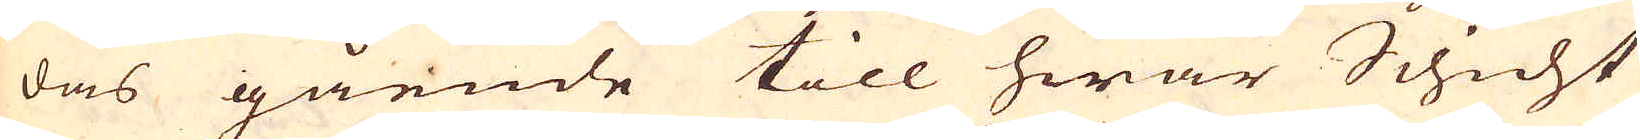das gående till hwar Schicht
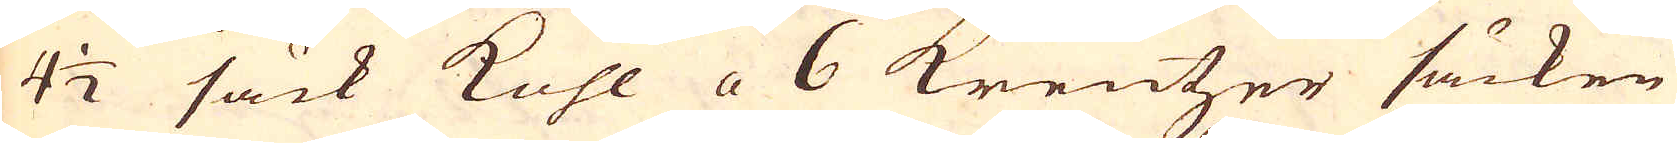4 1/2 säck Kohl a 6 Kreutzer säcken
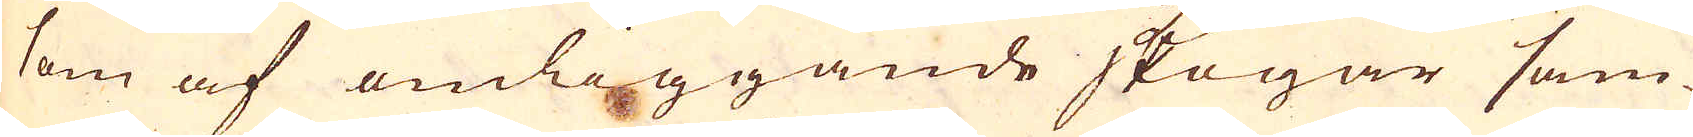som af omliggande skogar sam-
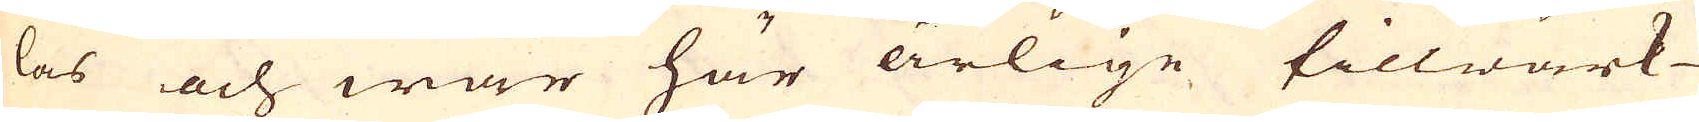las och war här årlige tillwärk-
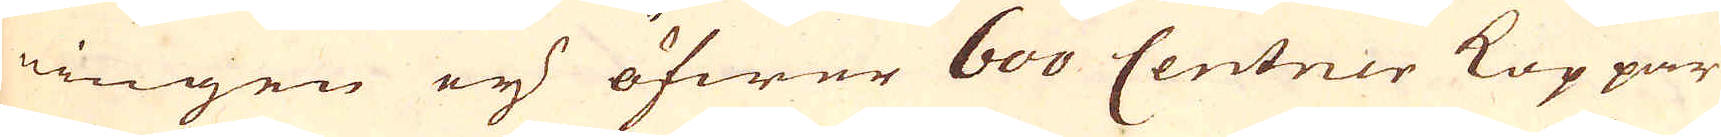ningen ey öfwer 600 Centner Koppar
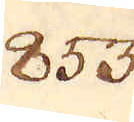853.
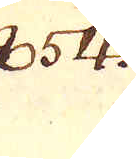854.
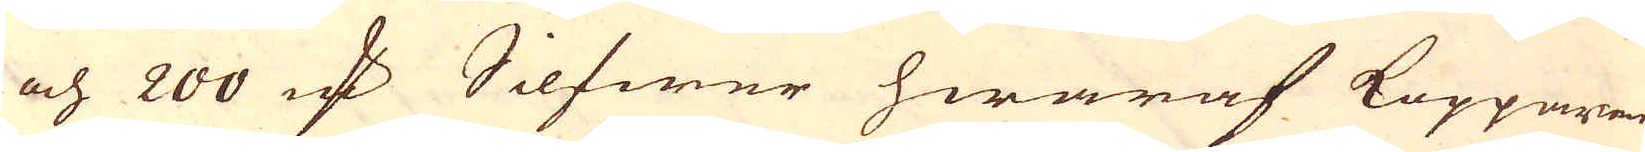och 200 marker Silfwer hwaraf Kopparen
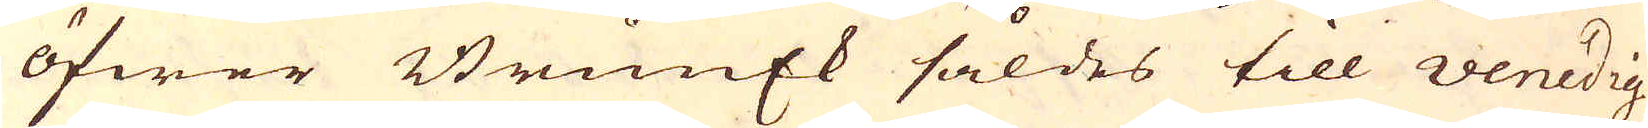öfwer Brunek såldes till Venedig
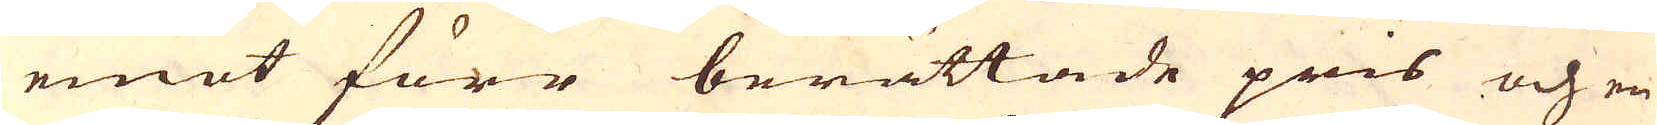emot förr berättade pris och en
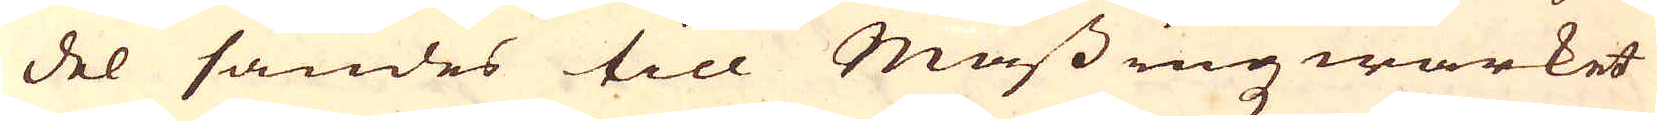del sändes till Mässingzwärket
